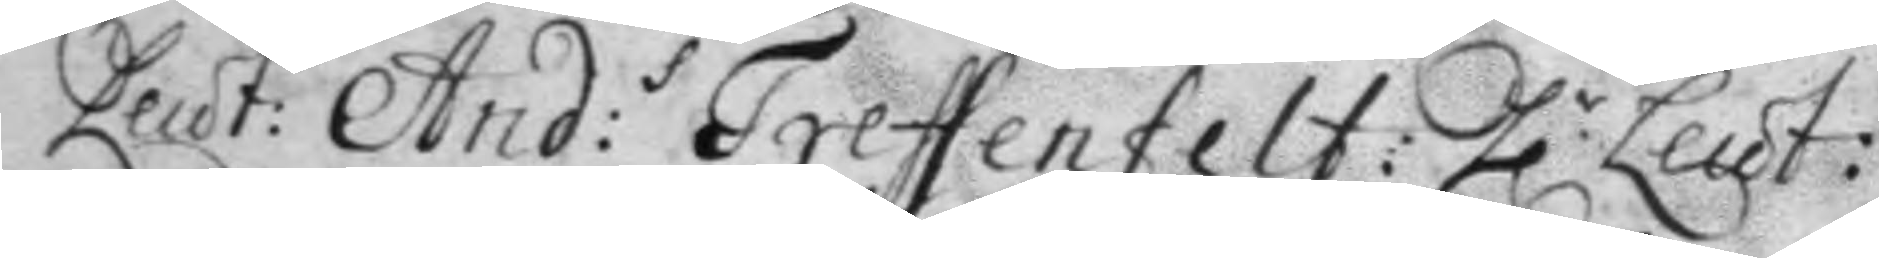Leut: And:s Treffenfelt: h.r Leut:
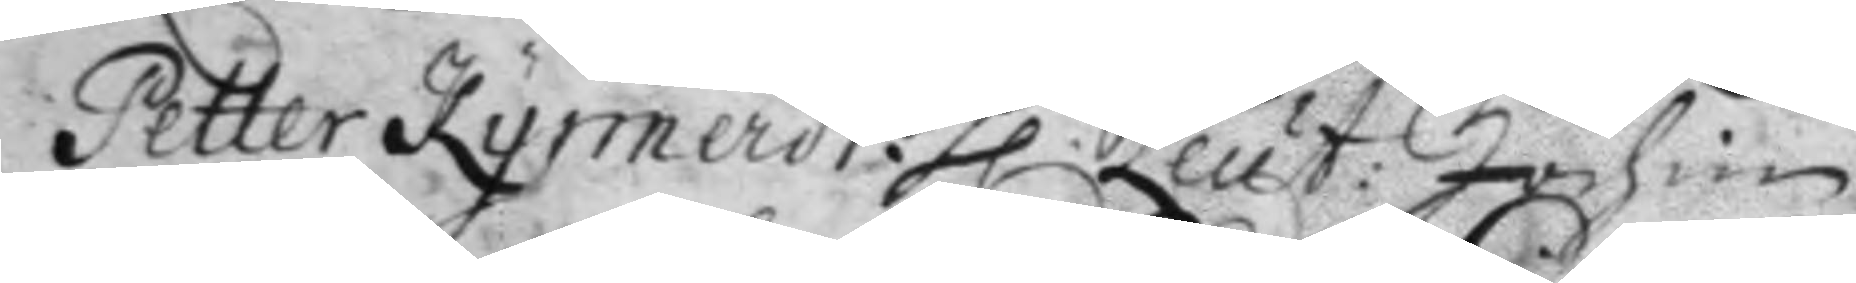Petter Kynnerdt. h.r Leut: Jochum
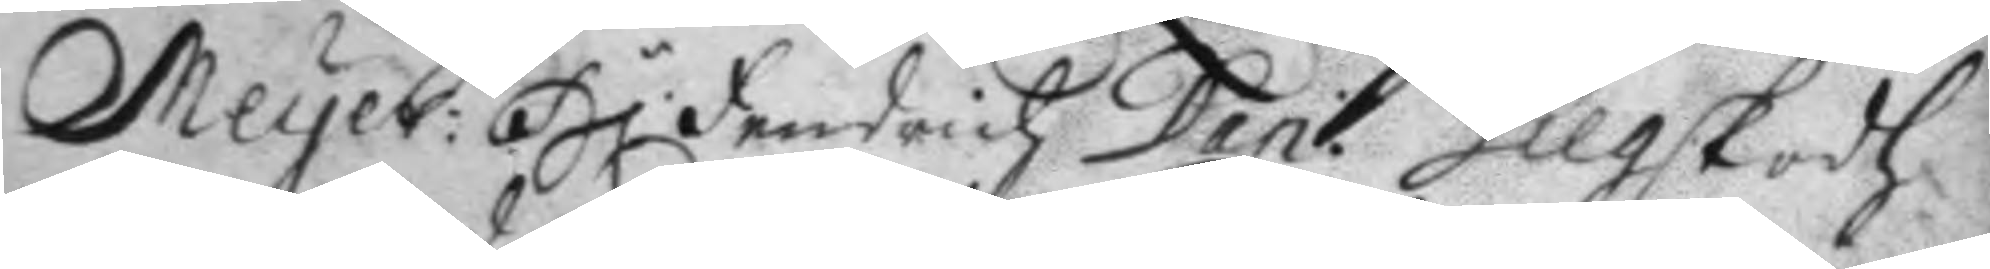Meyer: H.r Fredrich Dan: Gilgskodh
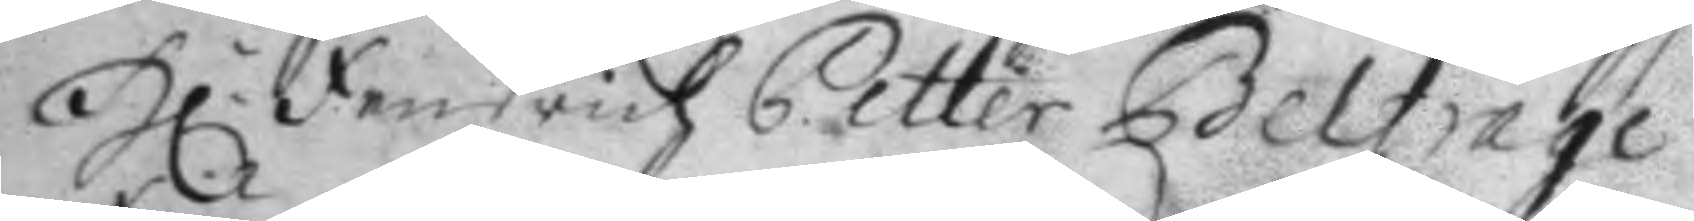H.r Fredrich Petter Belfrage
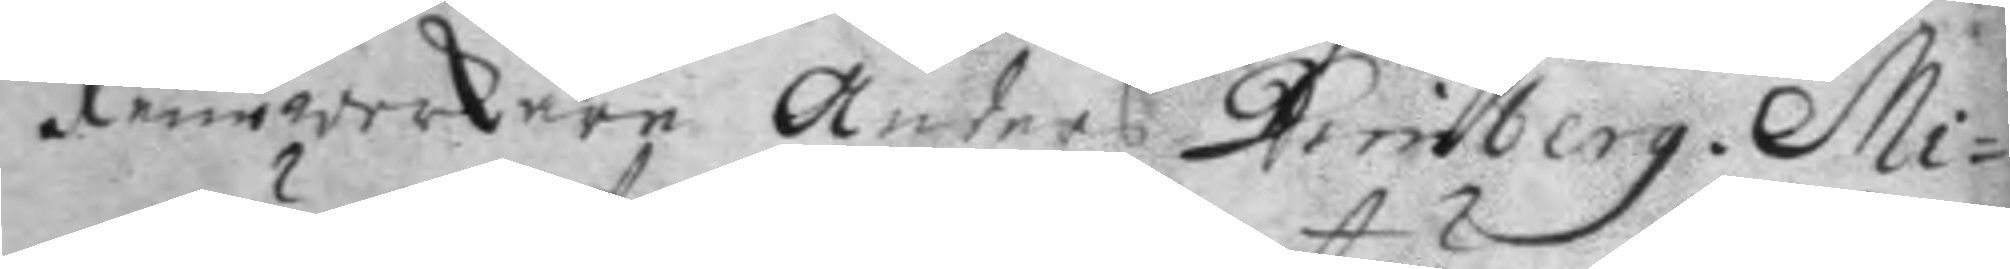Xiurwerkaren Anders Dimberg. Mi¬
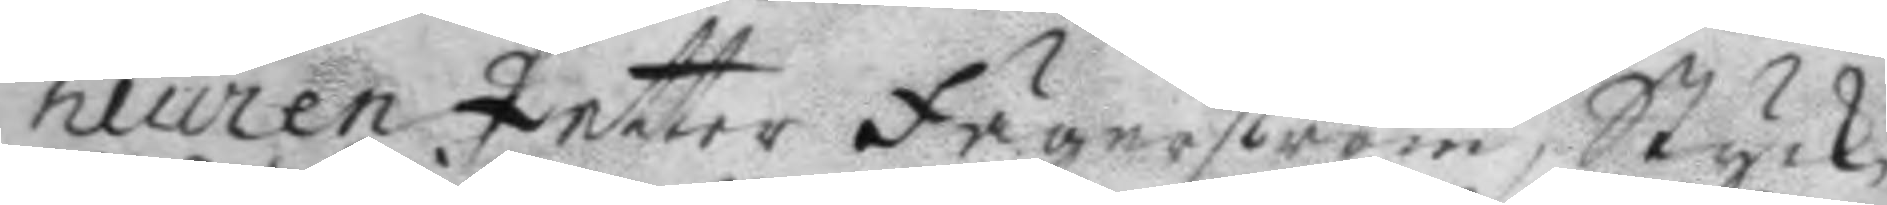neuren Petter Fägnerström, Styck¬
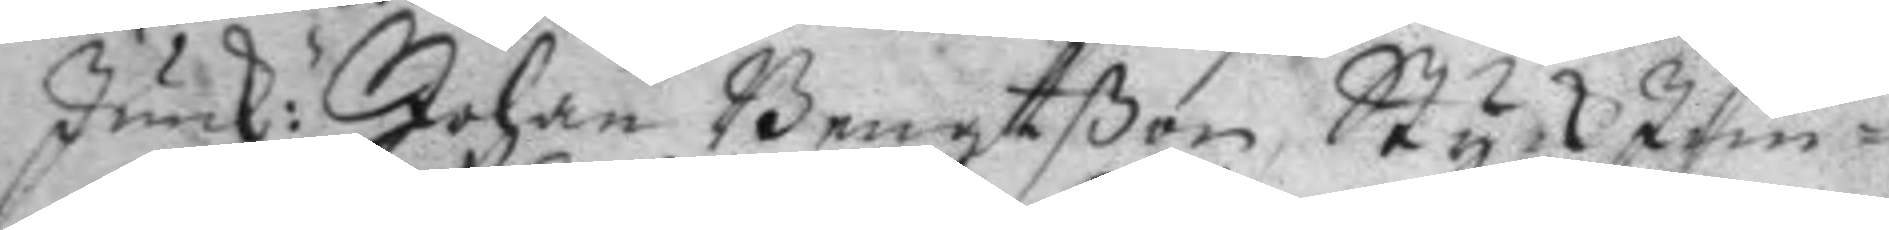junk: Johan Bengtßon, StyckJun¬
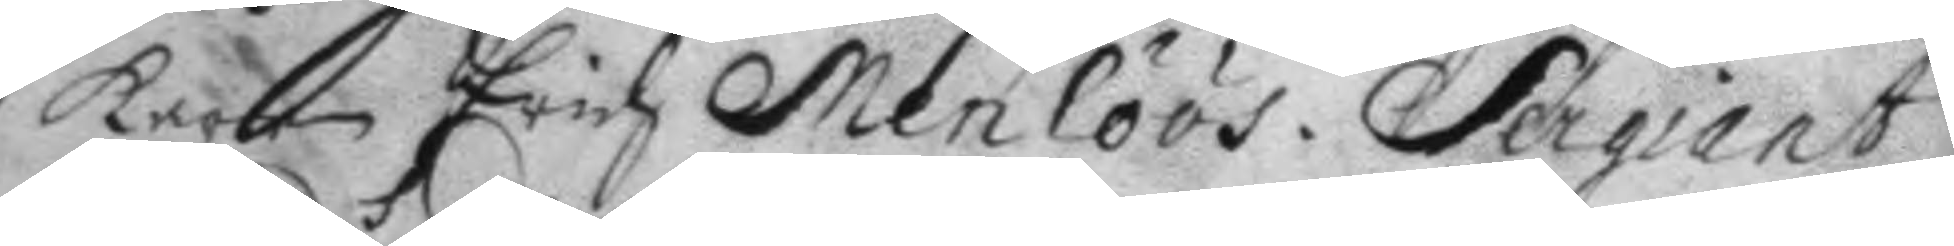karen Erich Menlöös. Sergiant
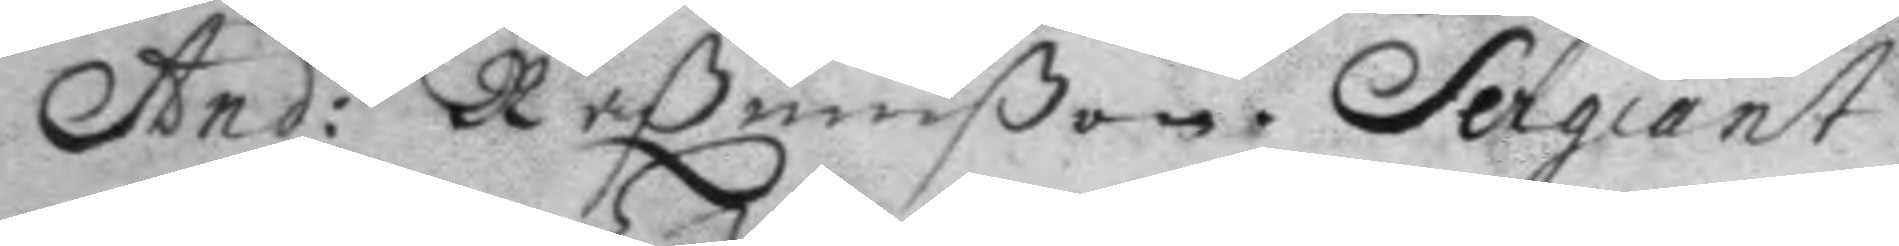And: Raßmußon. Sergiant
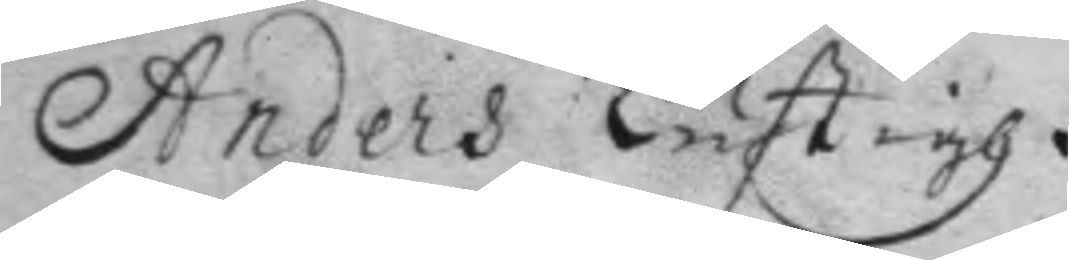Anders Lustigh.
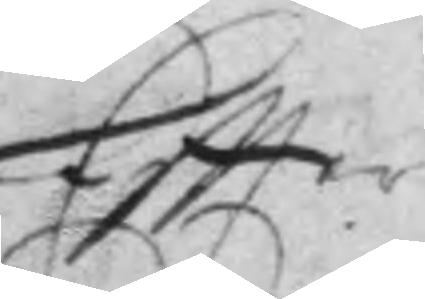Eftter
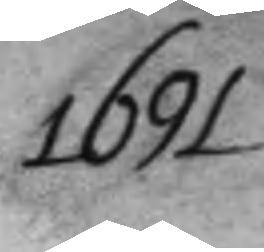1691
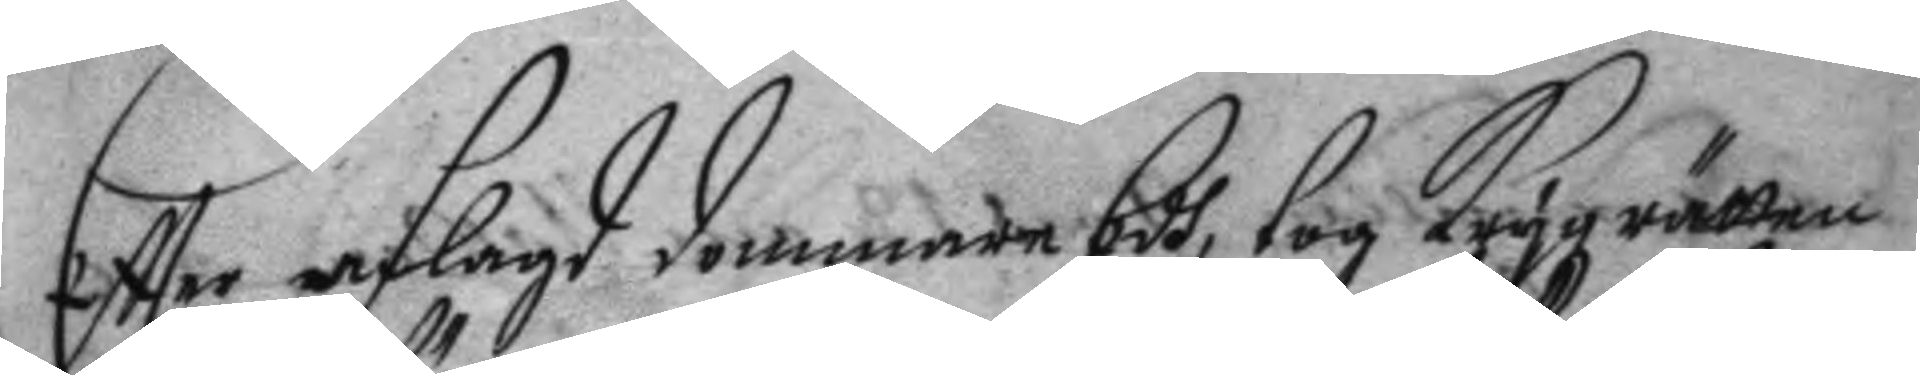Eftter aflagd dommare Edh tog Kryg rätten
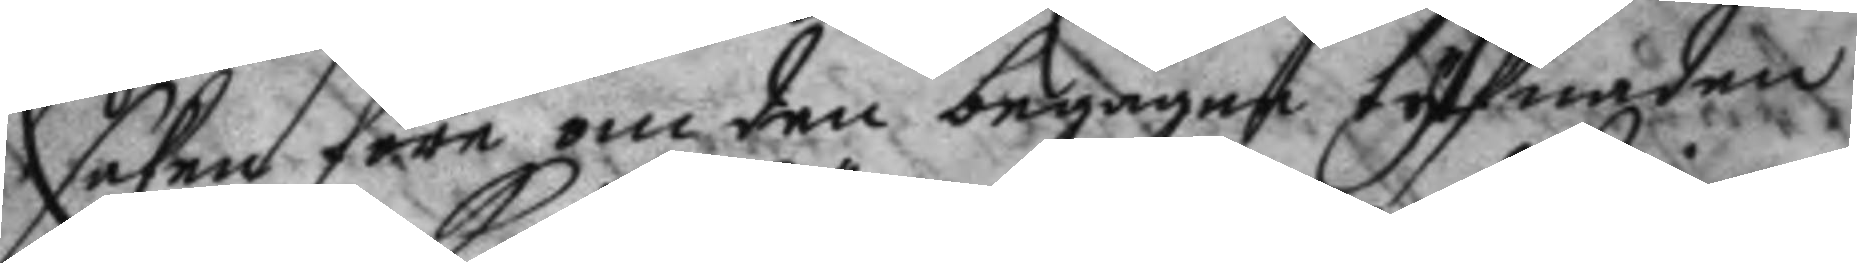saken före om den begågne tyfnaden
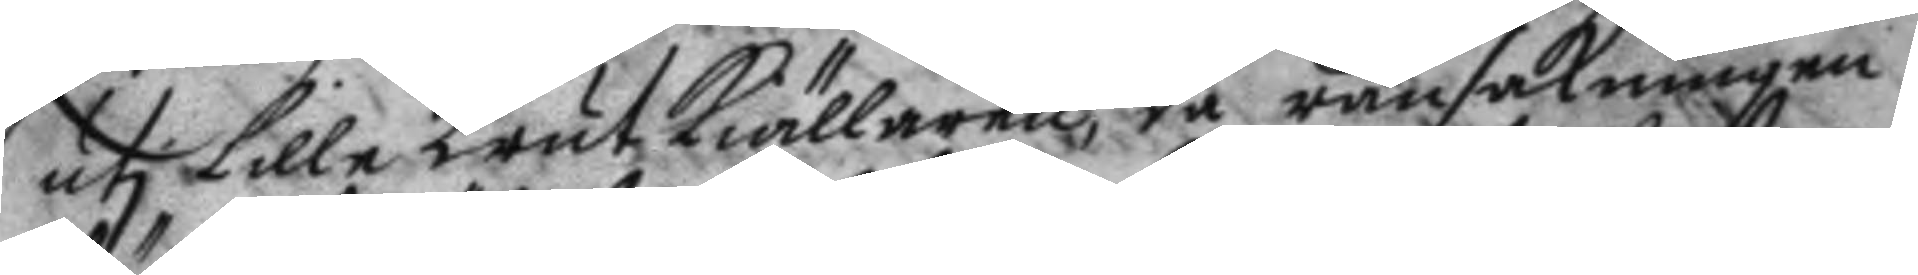uti lille KrutKiällaren, då ransakningen
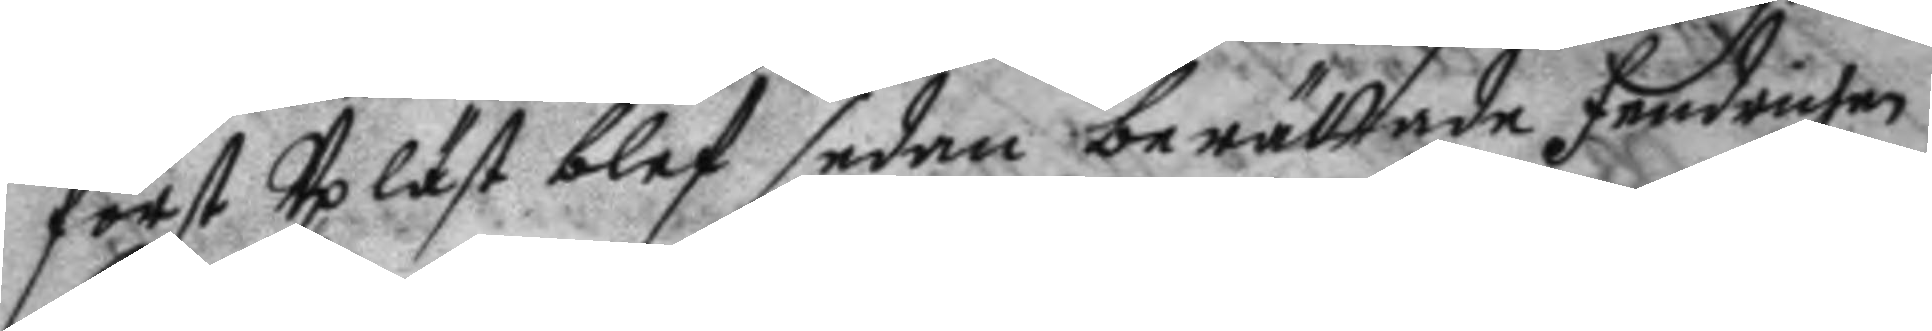först Up läst blef sedan berättade Fendrichen
